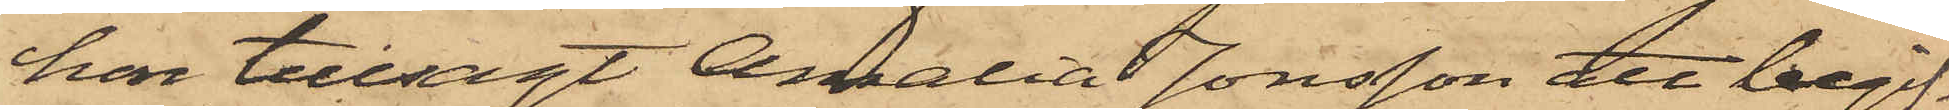hon tillsagt Amalia Jonsson att begif¬
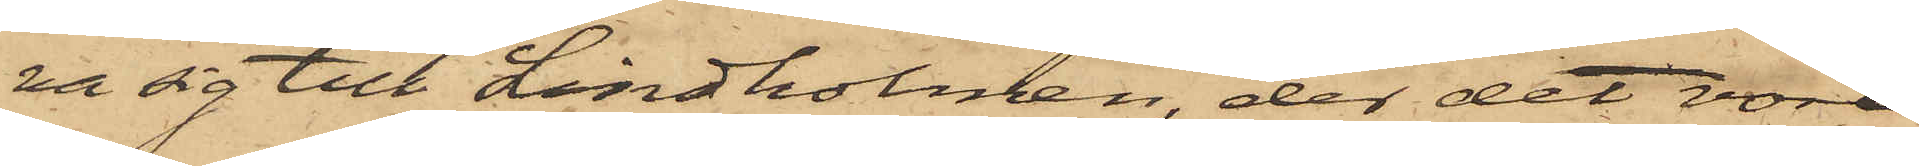ra sig till Lindholmen, der det vore
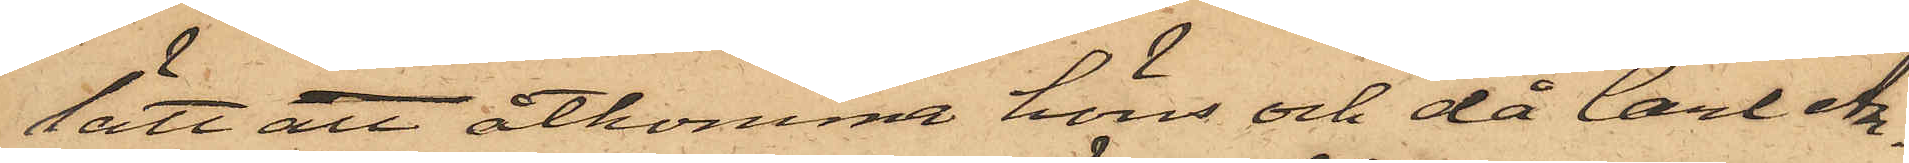lätt att åtkomma höns och då Carl An¬
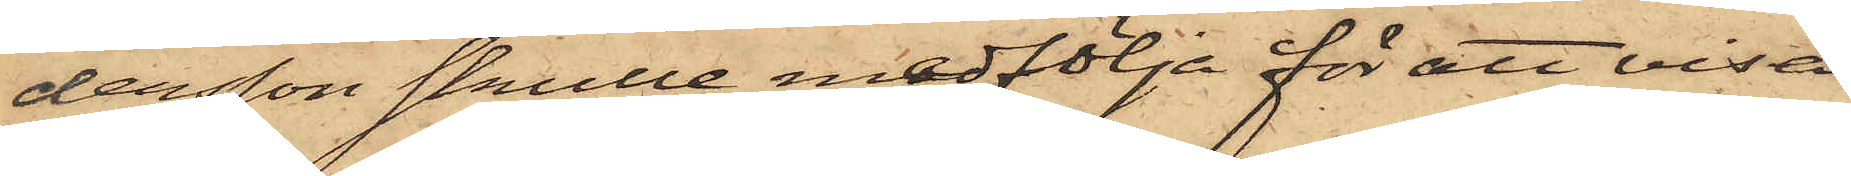dersson skulle medfölja för att visa
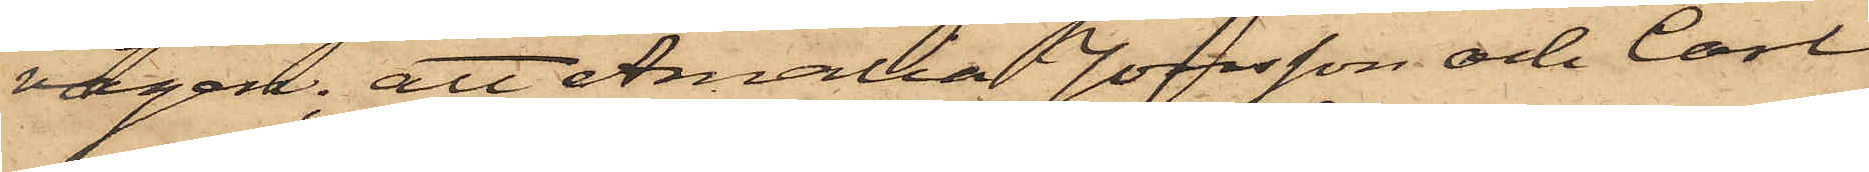vägen; att Amalia Jonsson och Carl
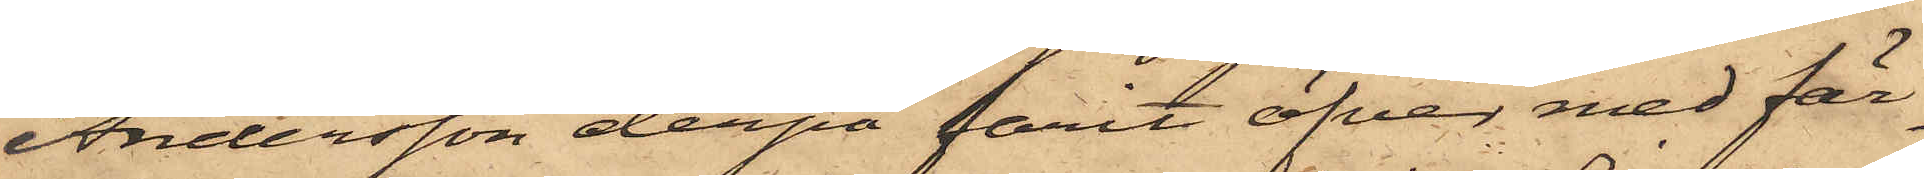Andersson derpå farit öfver med fär¬
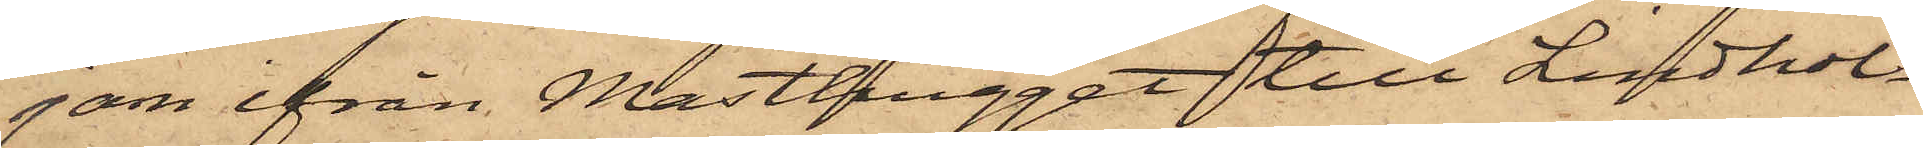jan ifrån Masthugget till Lindhol¬
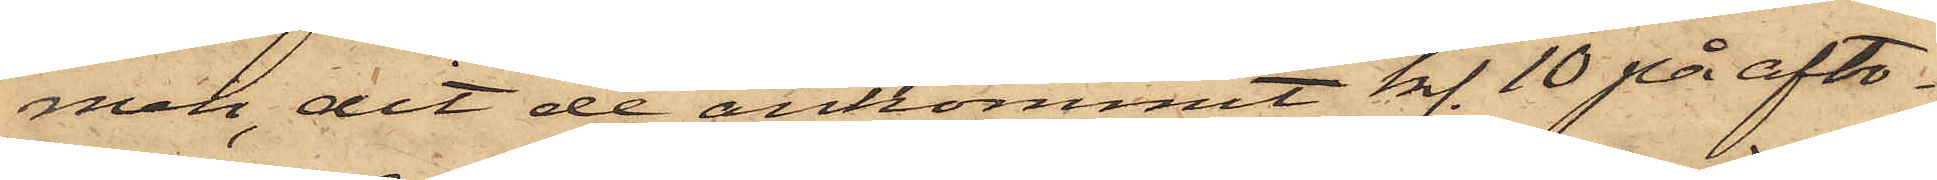men, dit de ankommit kl. 10 på afto¬
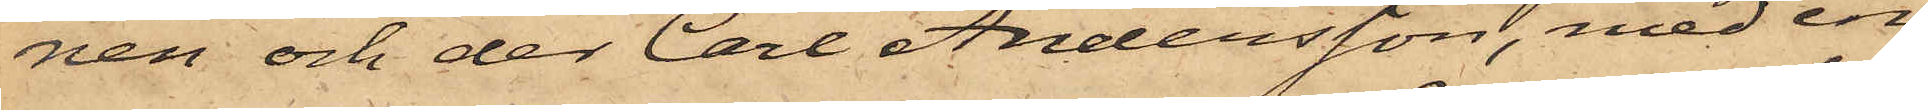nen och der Carl Andersson, med en
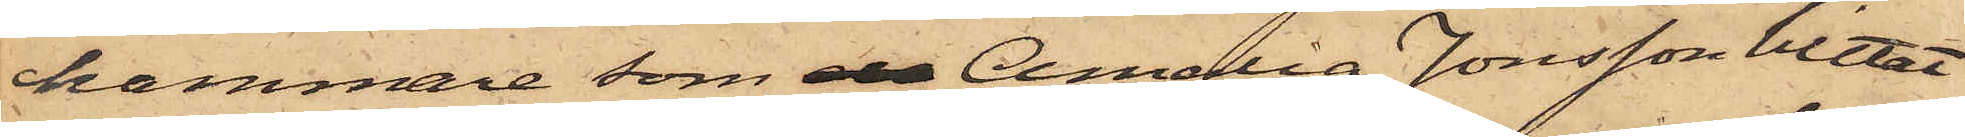hammare som de Amalia Jonsson hittat
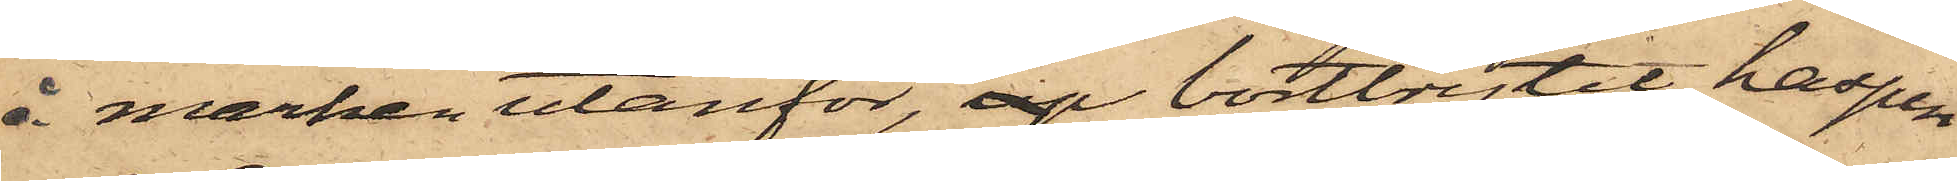å marken utanför, up bortbrytit haspen
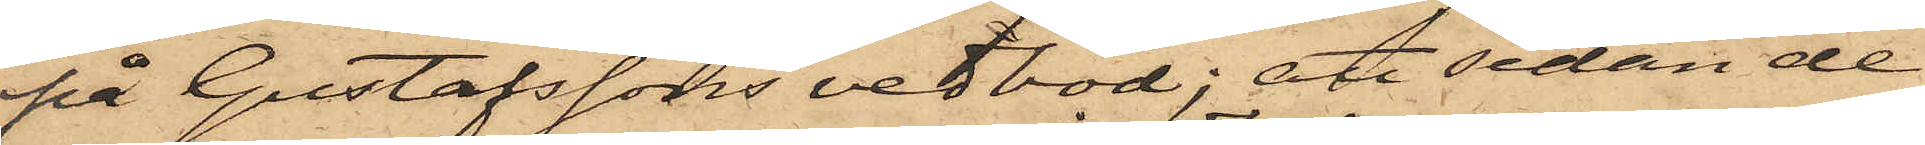på Gustafssons vedbod; att sedan de
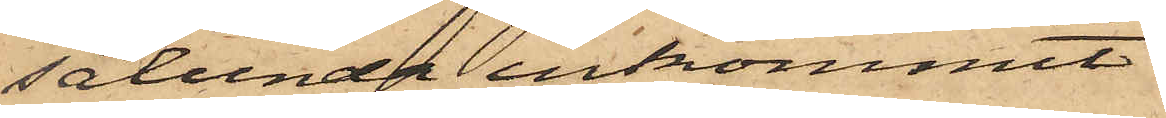sålunda inkommit
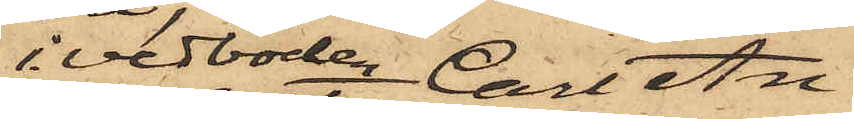i vedboden, Carl An¬
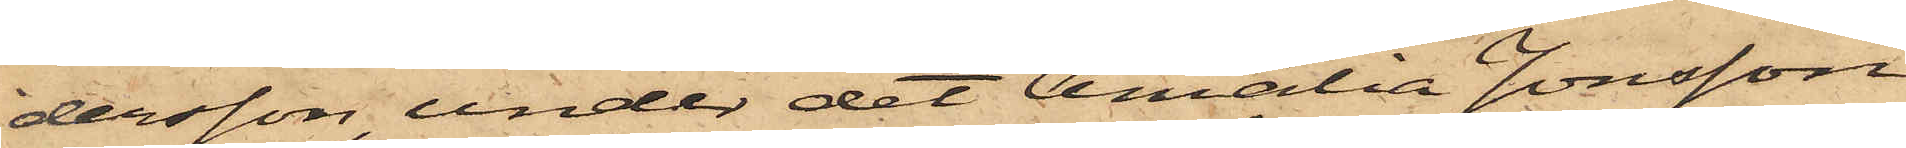dersson, under det Amalia Jonsson
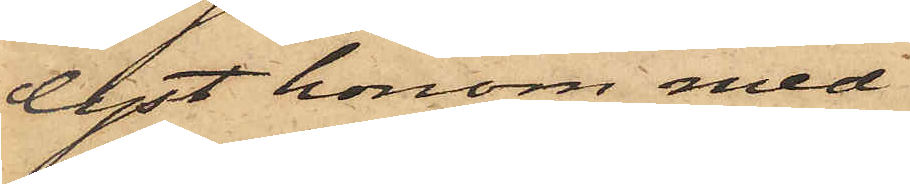lyst honom med
